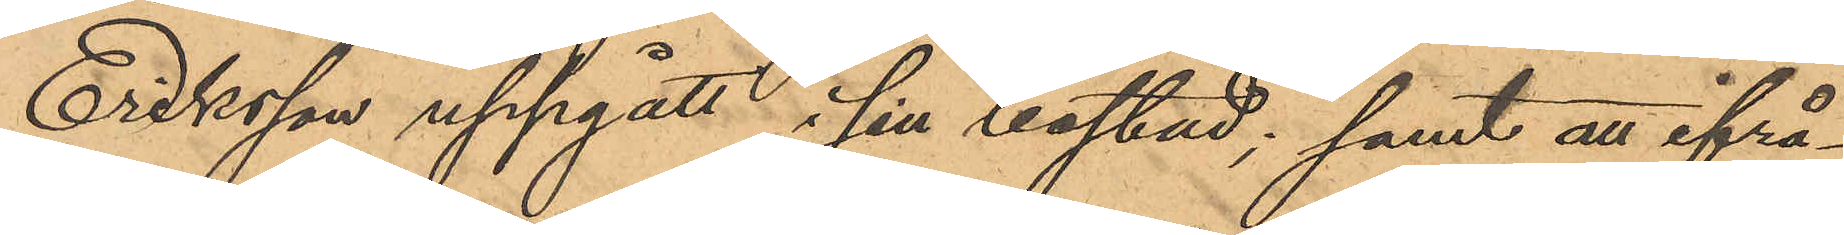Eriksson uppgått i sin bostad; samt att ifrå¬
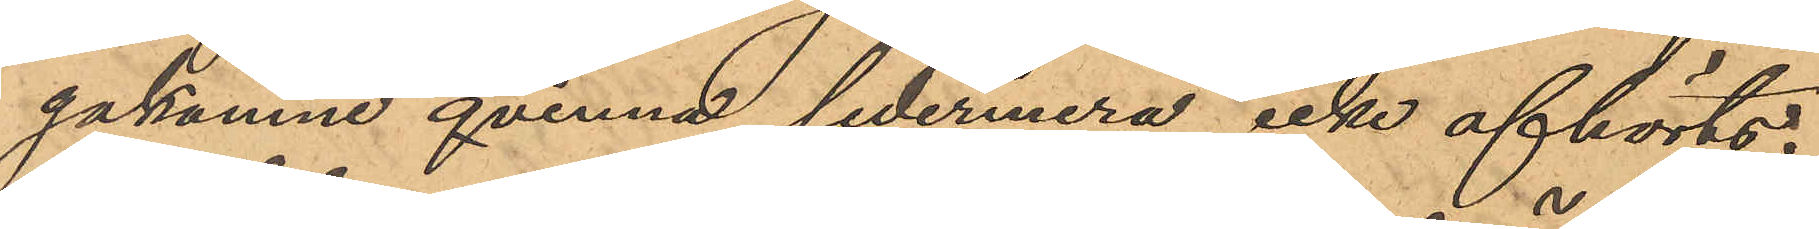gakomne qvinna sedermera icke afhörts.
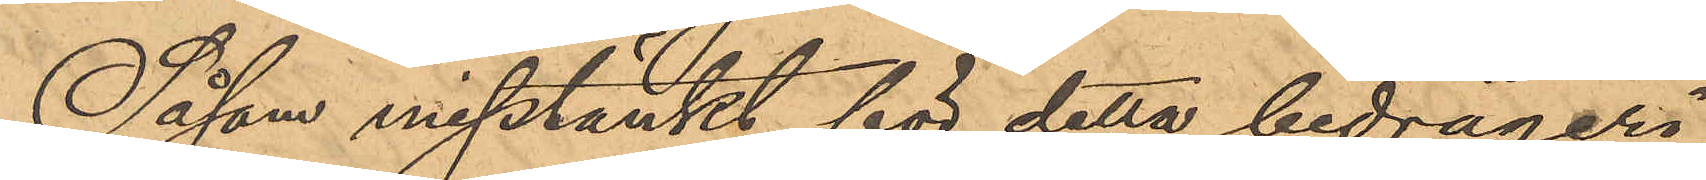Såsom misstänkt för detta bedrägeri
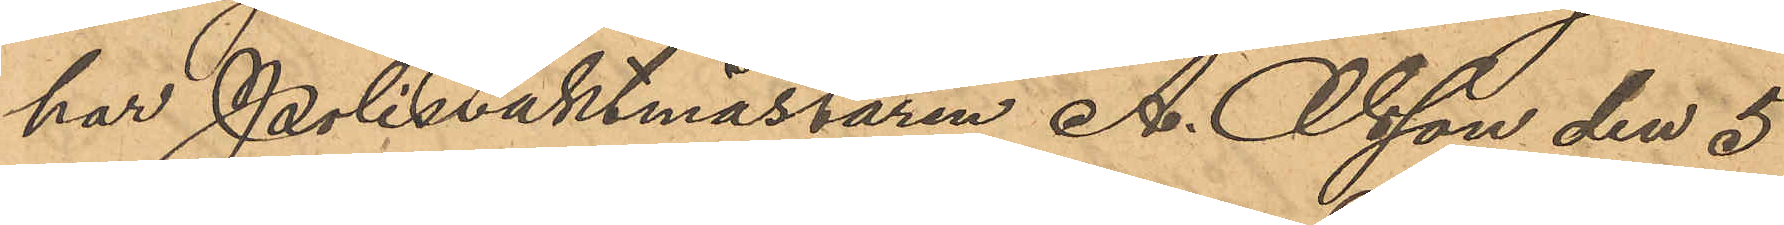har Polisvaktmässaren A. Olsson den 5
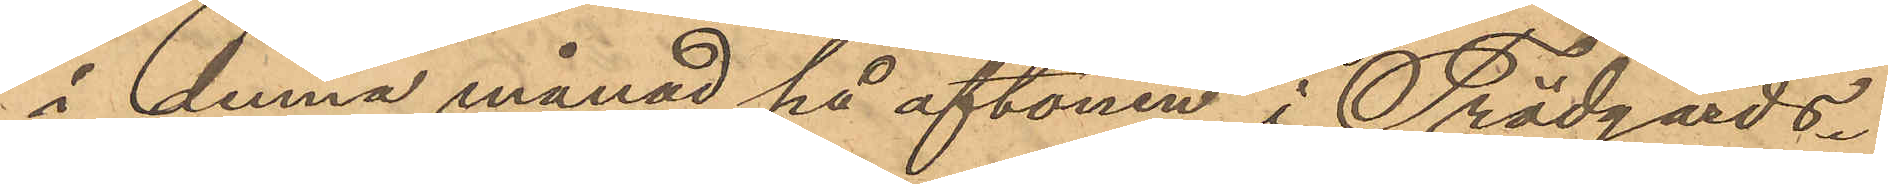i denna månad på aftonen i Trädgårds¬
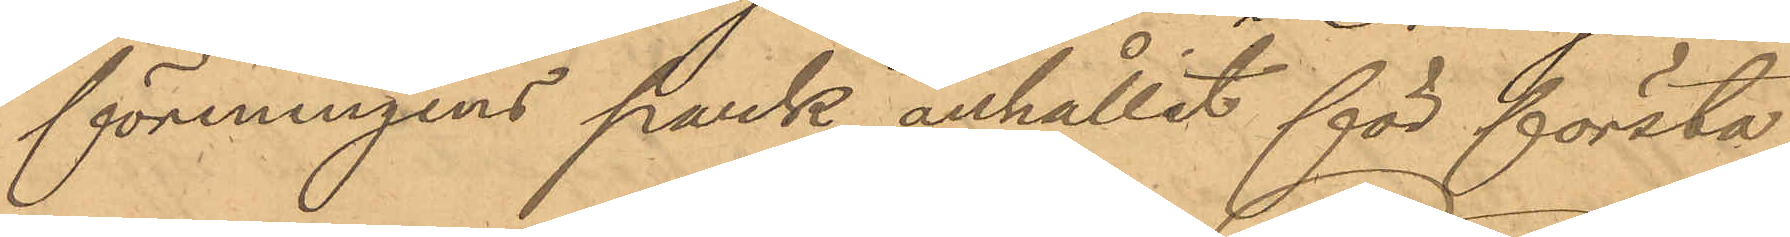föreningens pank anhållit för första
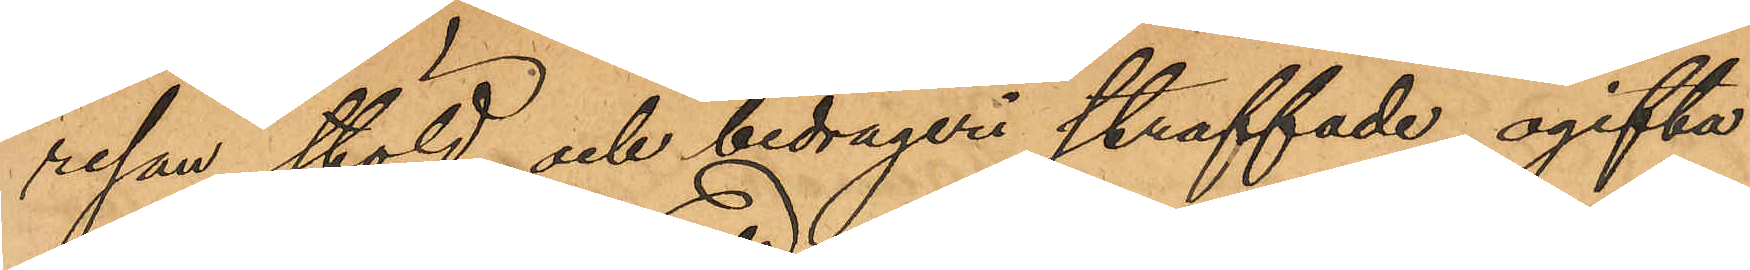resan stöld och bedrägeri straffade ogifta
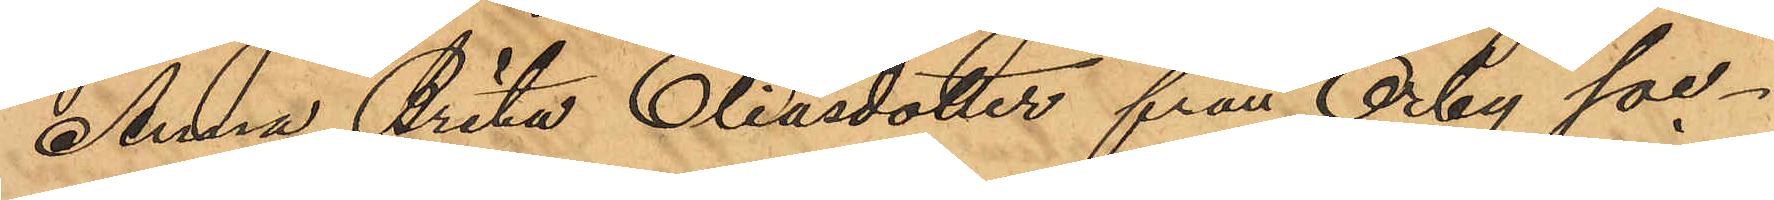Anna Brita Eliasdotter från Örby soc¬
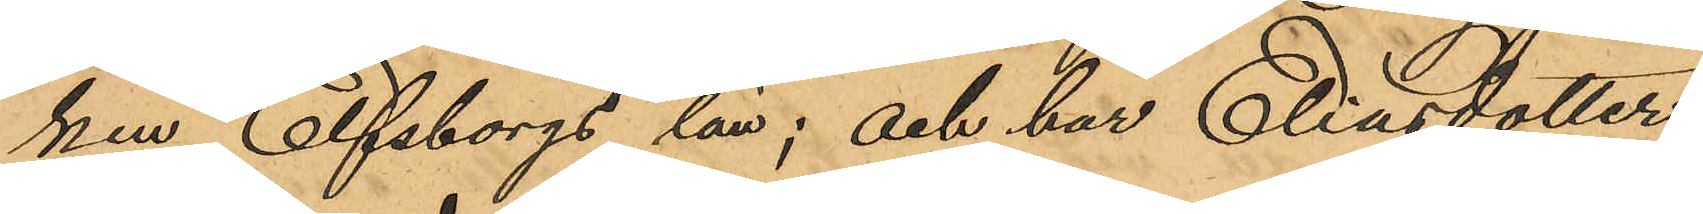ken, Elfsborgs län; och har Eliasdotter,
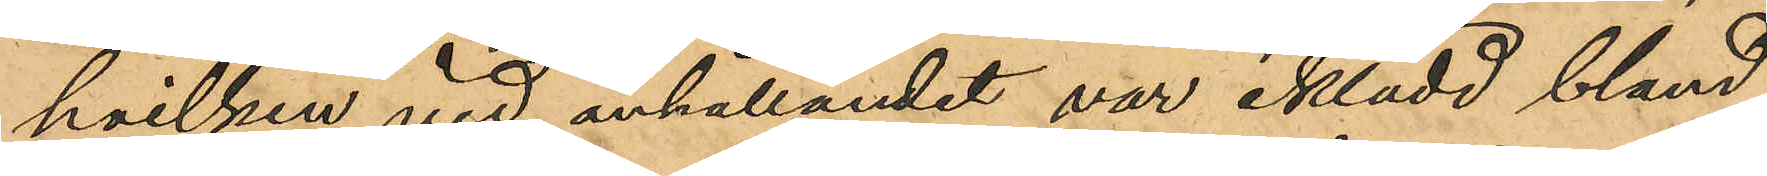hvilken vid anhållandet var iklädd, bland
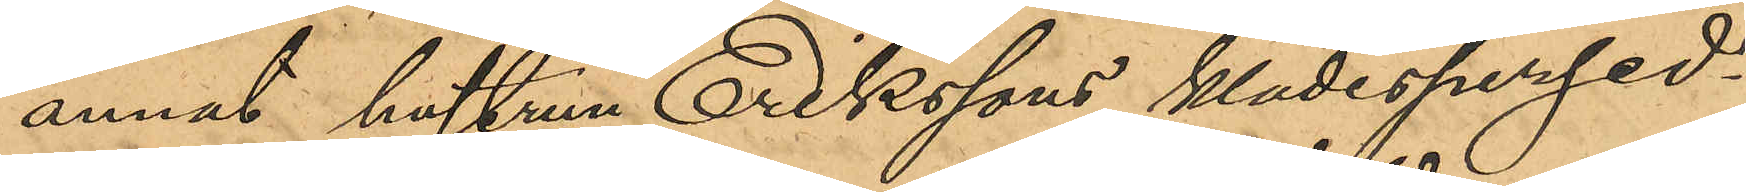annat, hustrun Erikssons klädespersed¬
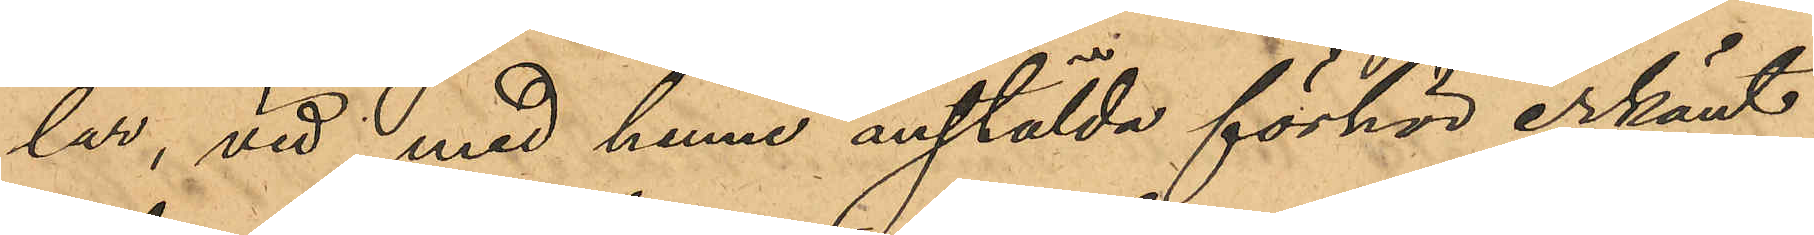lar, vid med henne anstälda förhör erkänt
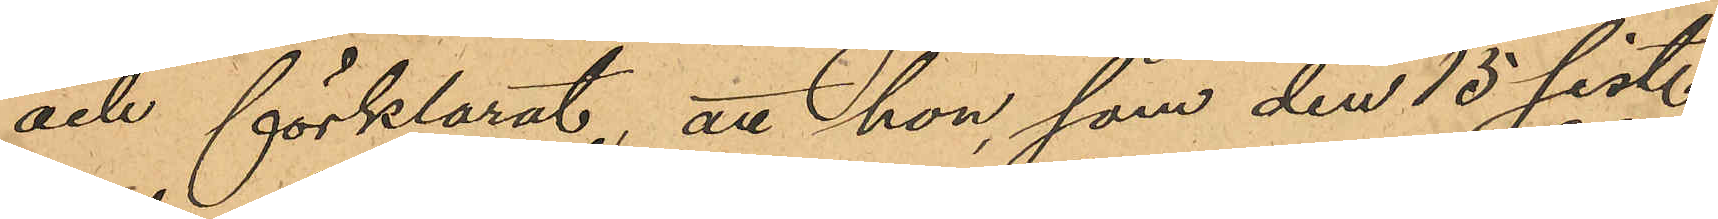och förklarat, att hon, som den 15 sist.
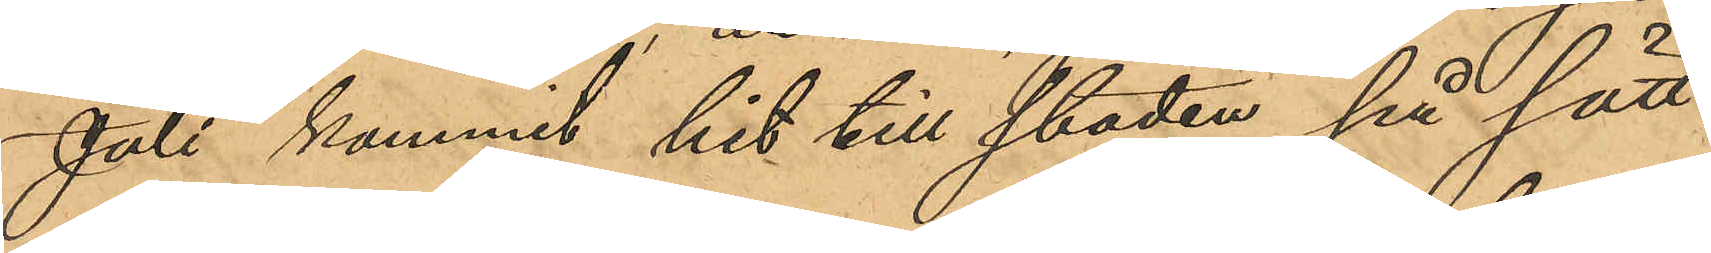Juli kommit hit till staden på sätt
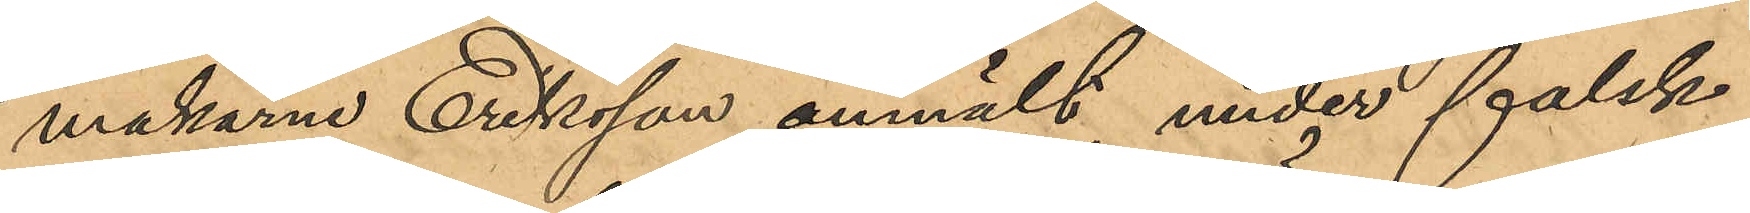makarne Eriksson anmält, under falsk
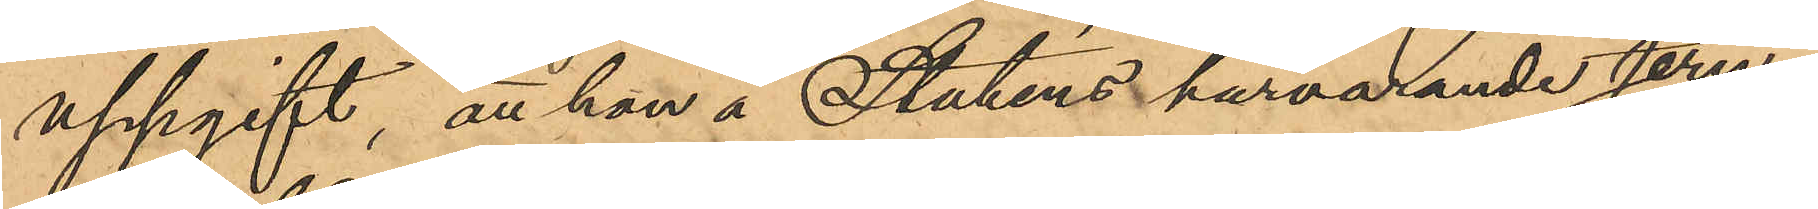uppgift, att hon å Statens härvarande Jern¬
